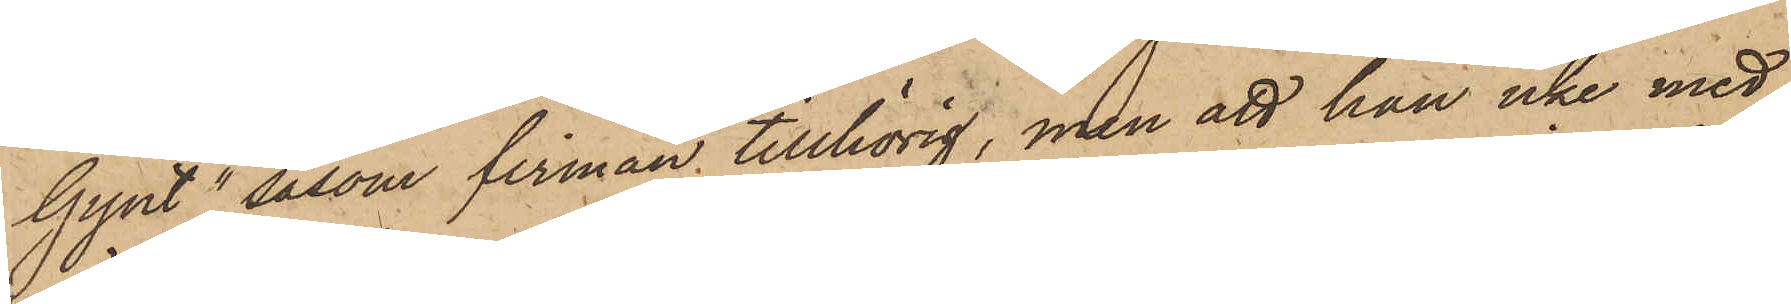Gynt", såsom firman tillhörig, men att han icke med
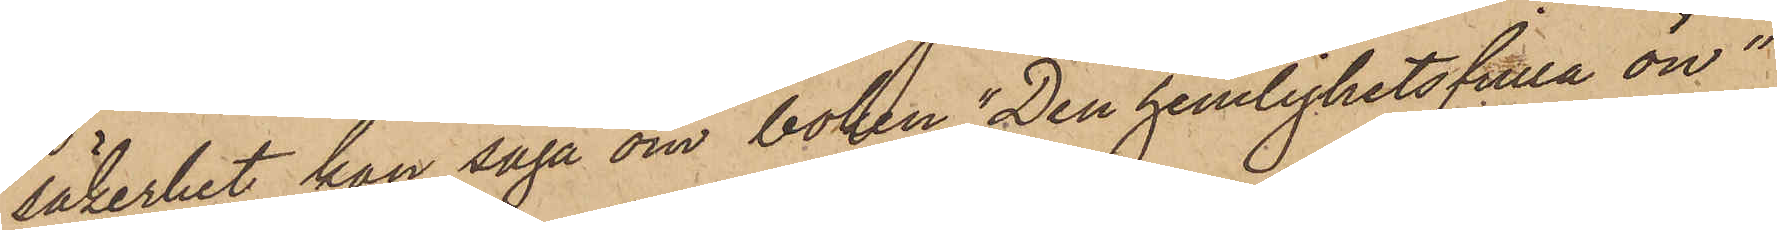säkerhet kan säga om boken "Den hemlighetsfulla ön"
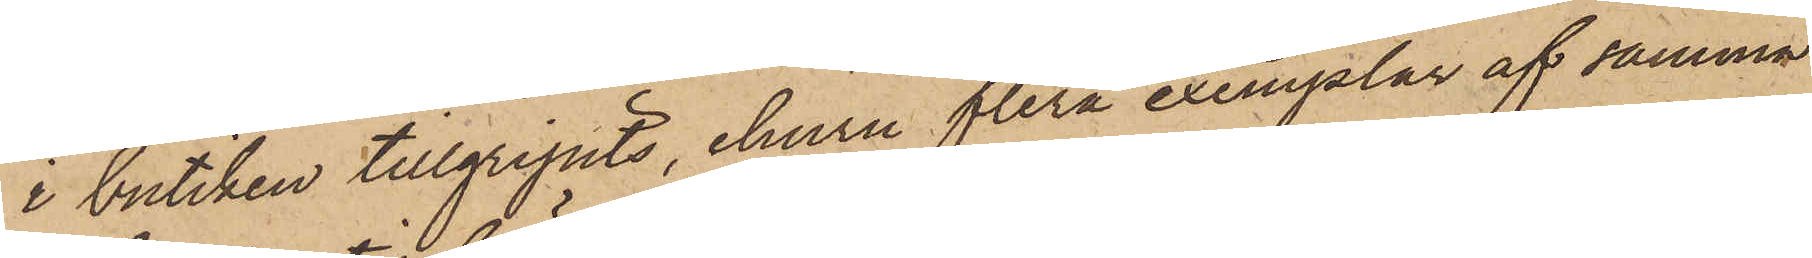i butiken tillgripits, ehuru flera exemplar af samma
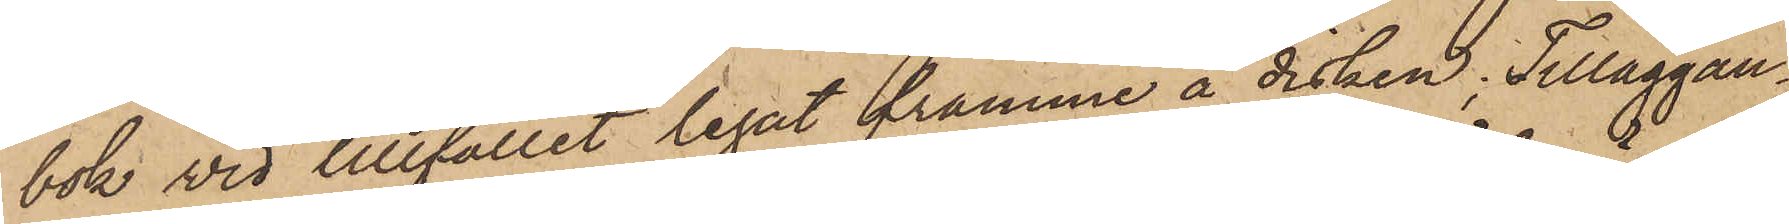bok vid tillfället legat framme å disken; Tilläggan¬
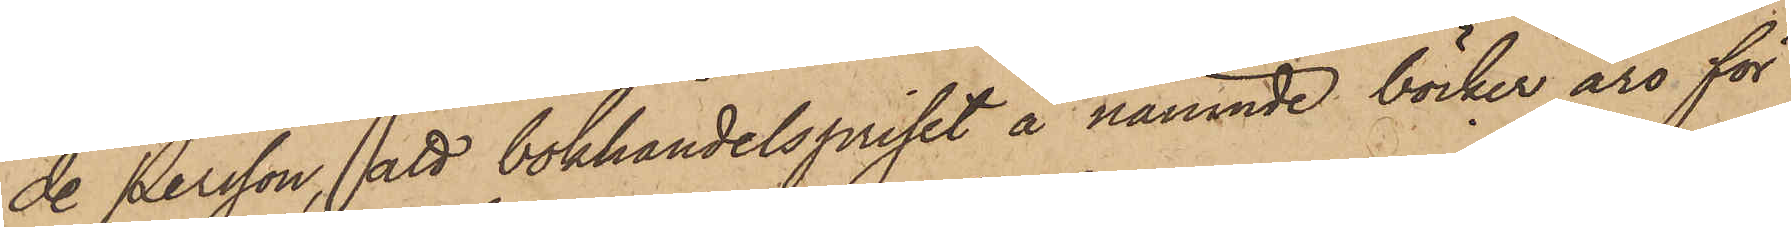de Persson, att bokhandelspriset å nämnde böcker äro för
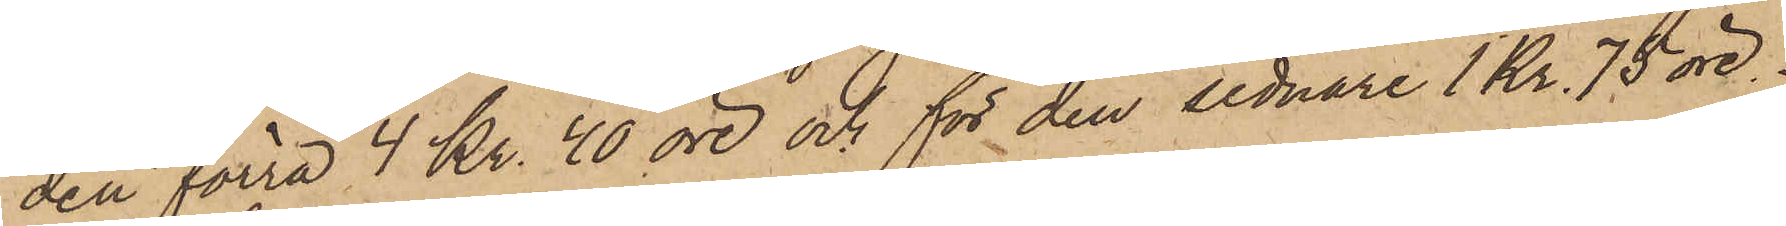den förra 4 Kr. 40 öre och för den sednare 1 Kr. 75 öre.
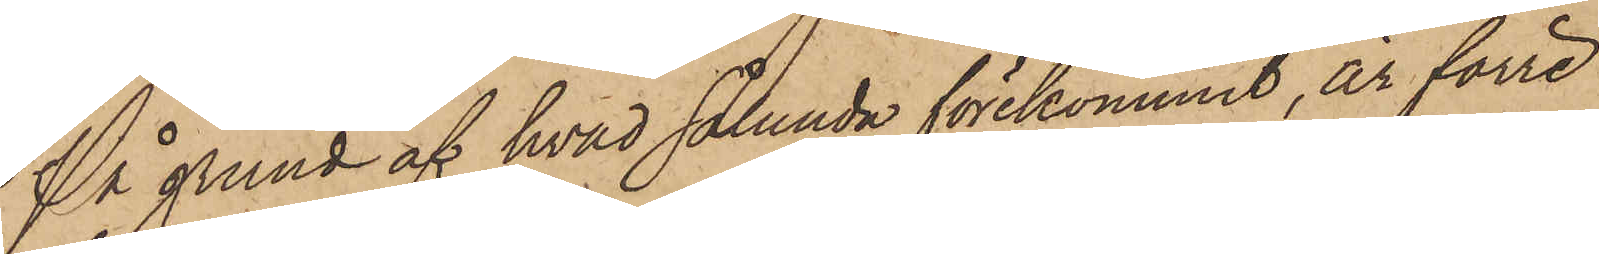På grund af hvad sålunda förekommit, är förre
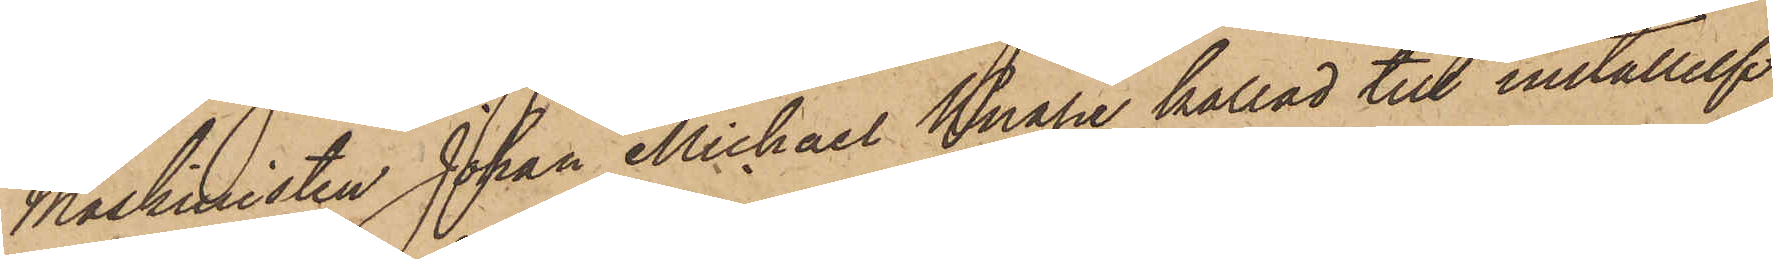Maskinisten Johan Michael Knape kallad till inställelse
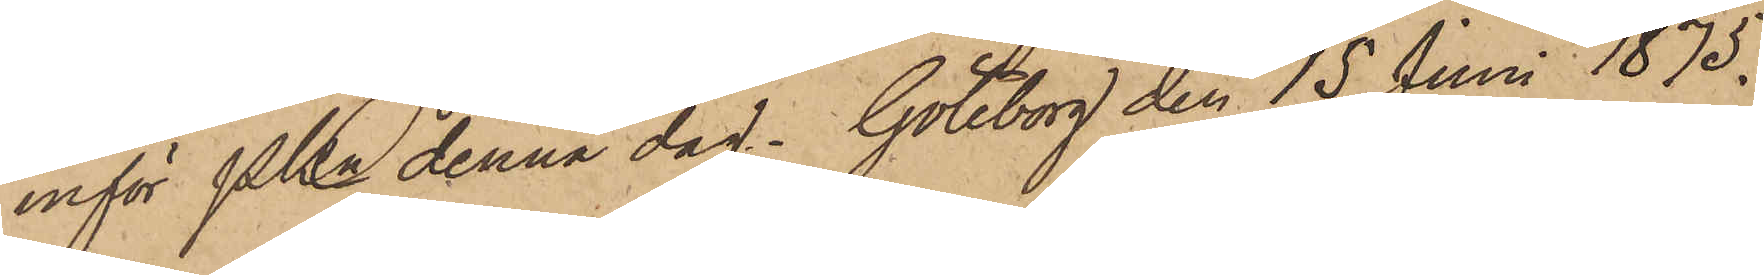inför Pkn denna dag. Göteborg den 15 Juni 1875.
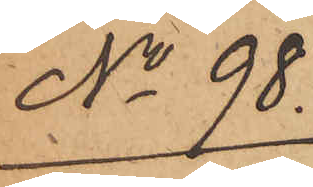No 98.
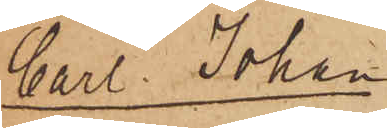Carl Johan
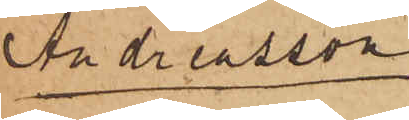Andreasson
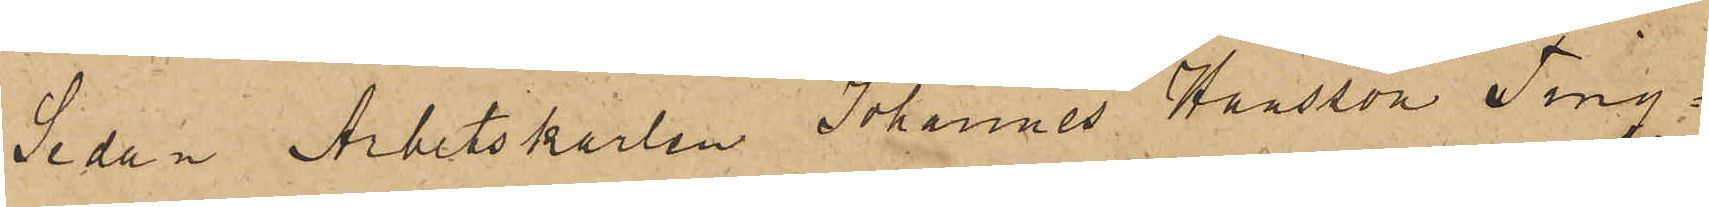Sedan Arbetskarlen Johannes Hansson Ting¬
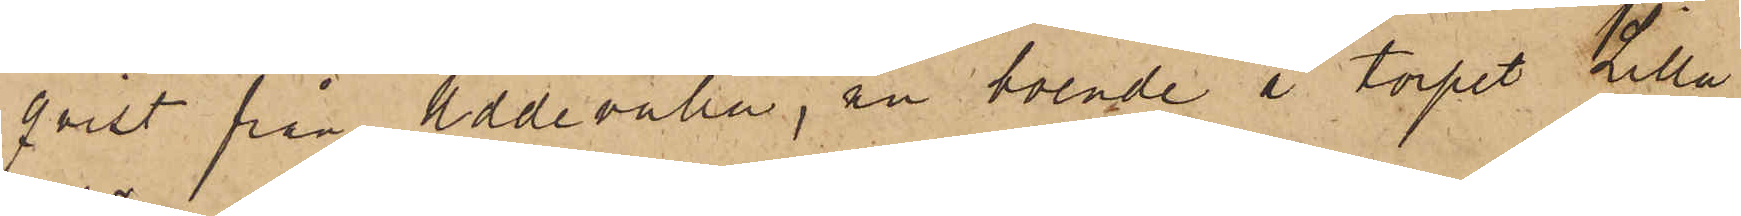qvist från Uddevalla, nu boende å torpet Lilla
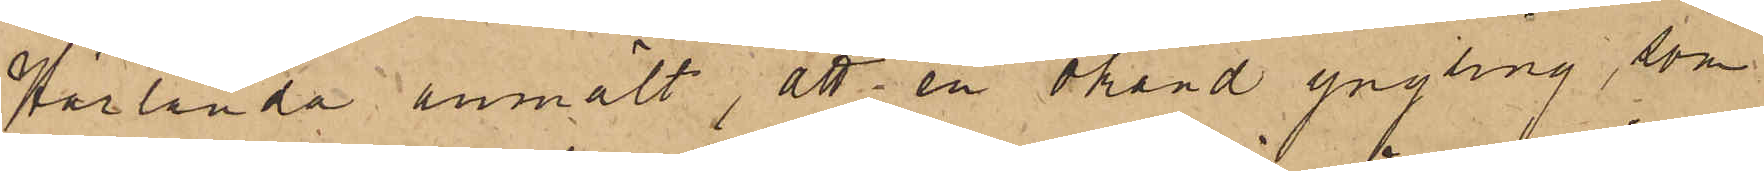Härlanda anmält, att en okänd yngling, som
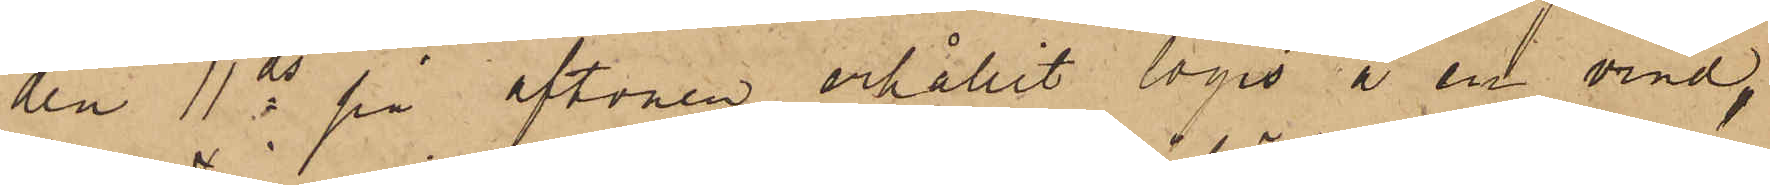den 11 ds på aftonen erhållit logis å en vind
